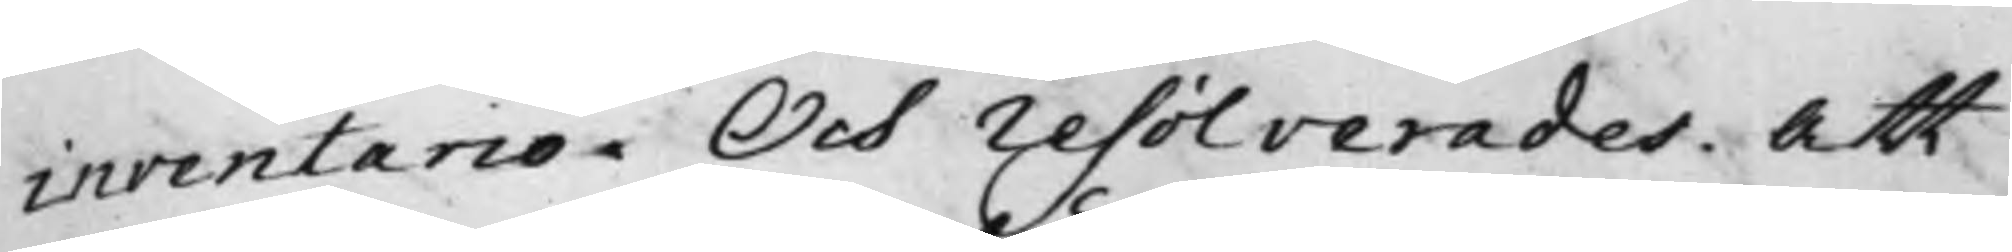inventario, Och resolverades: Att
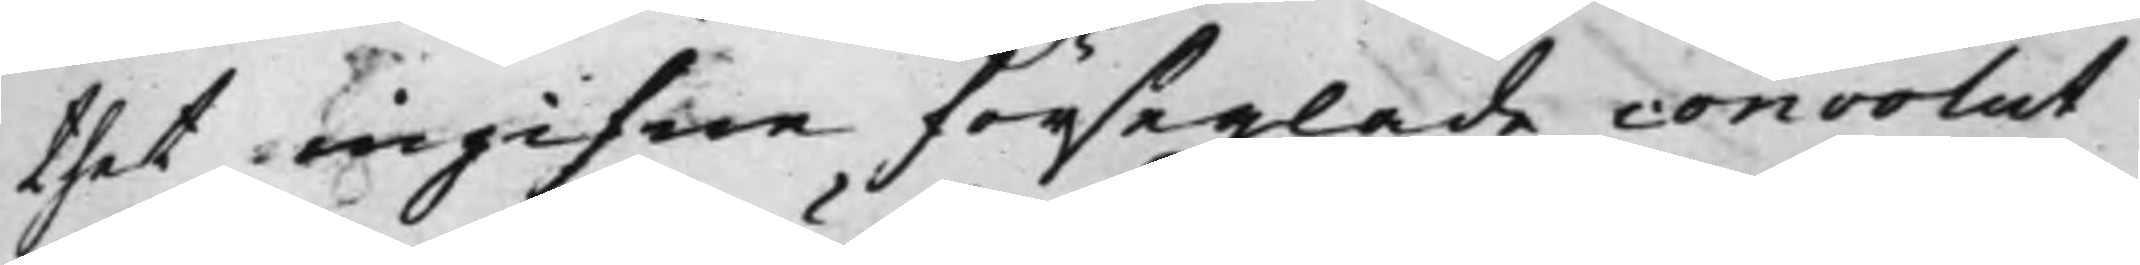thet ingifne förseglade convolut
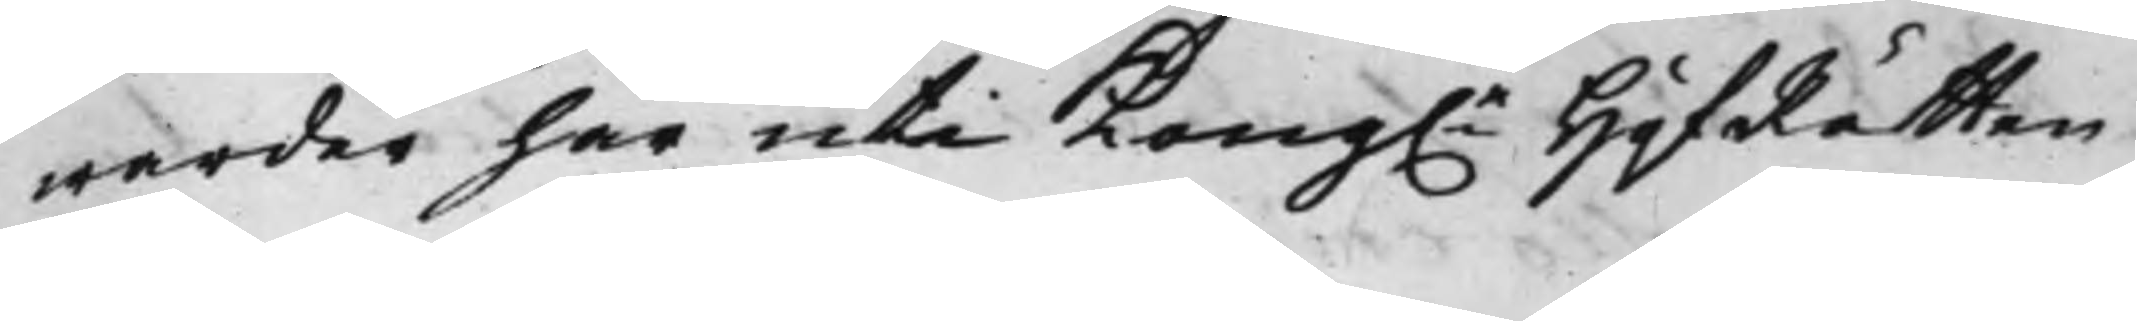warder här uti Kong.e HofRätten
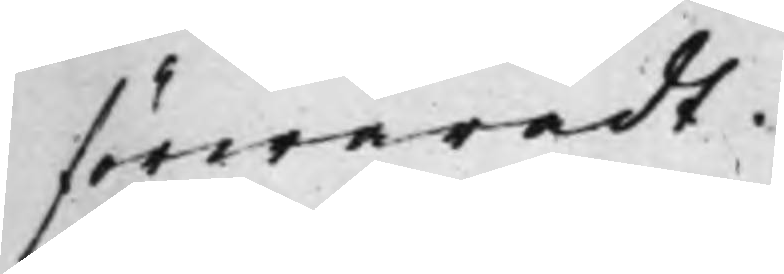förwaradt.
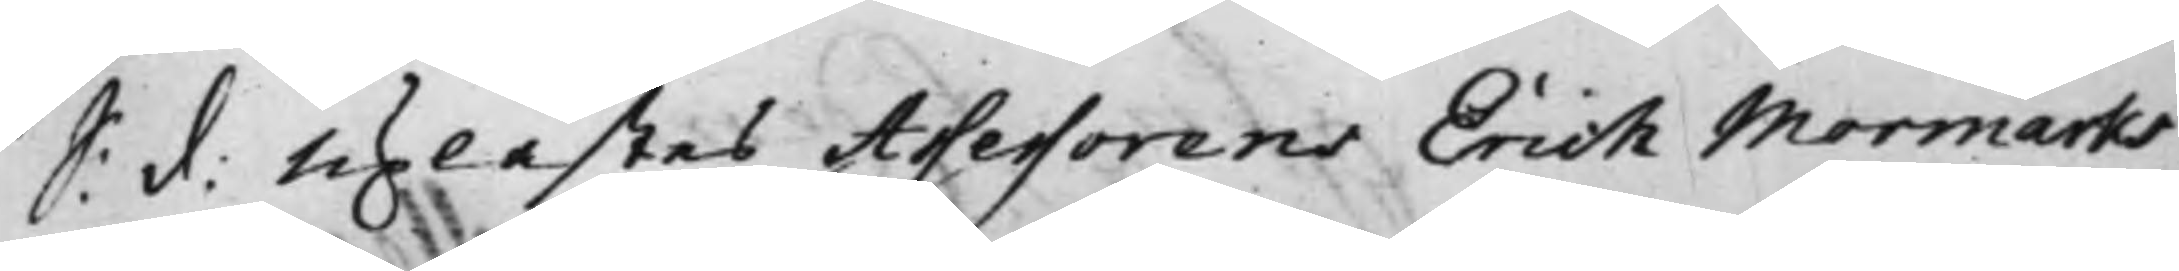S: d: Uplästes Assessorens Erich Mormarks
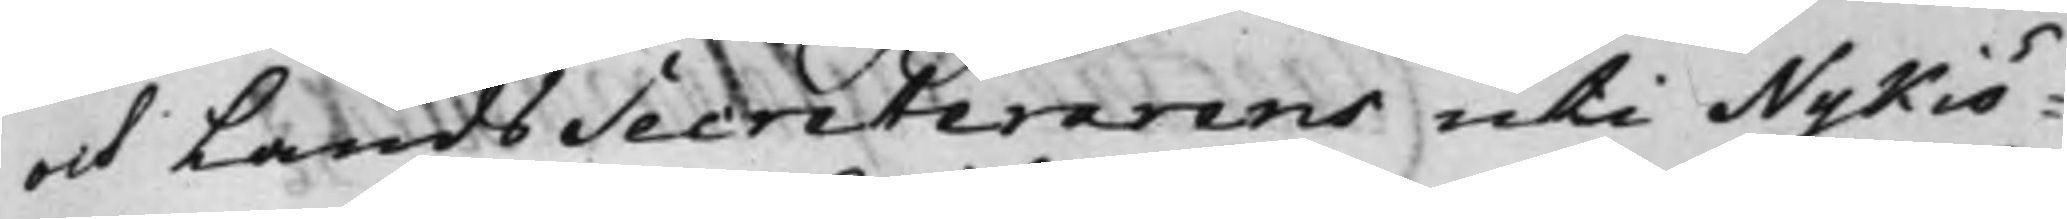och LandsSecreterarens uti Nykiö¬
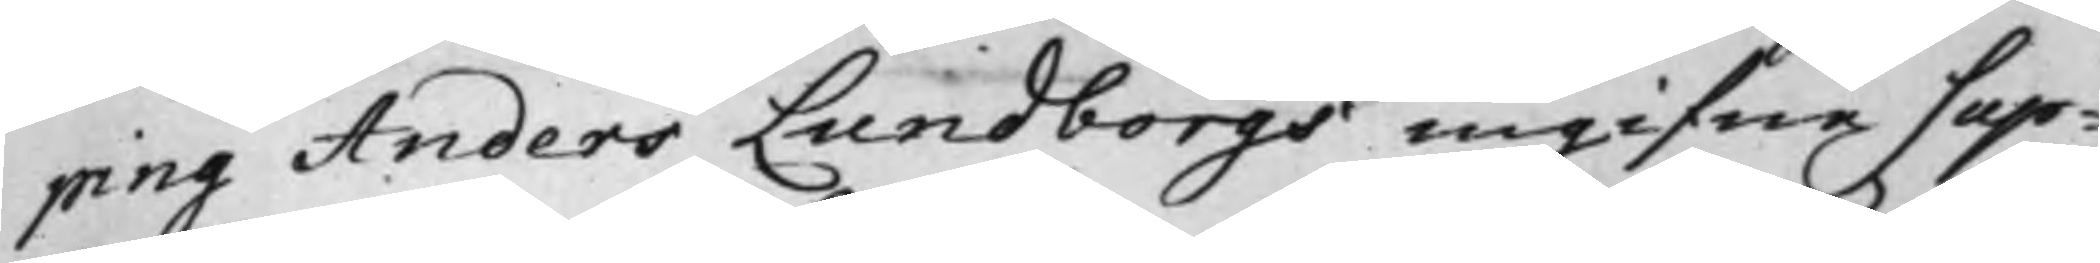ping Anders Lundborgs ingifne Sup¬
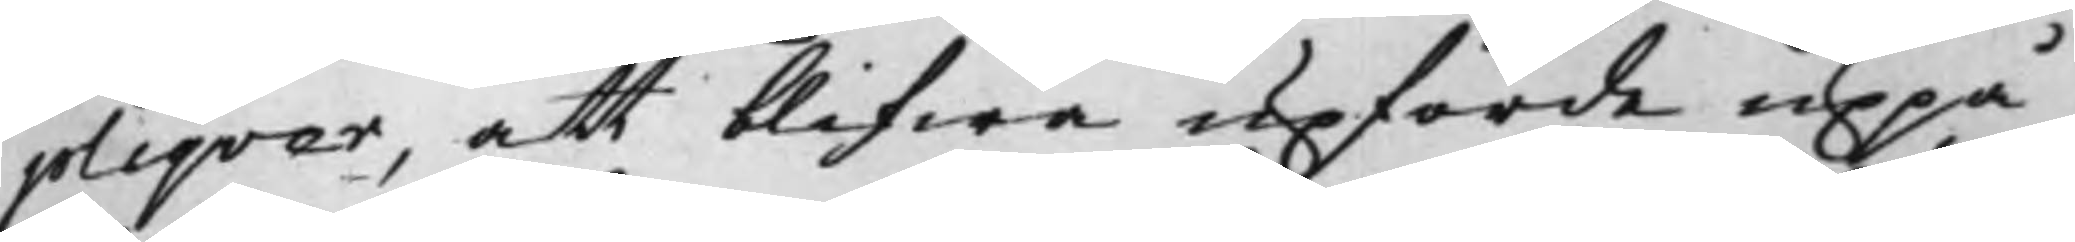pliqver, att blifwa upförde uppå
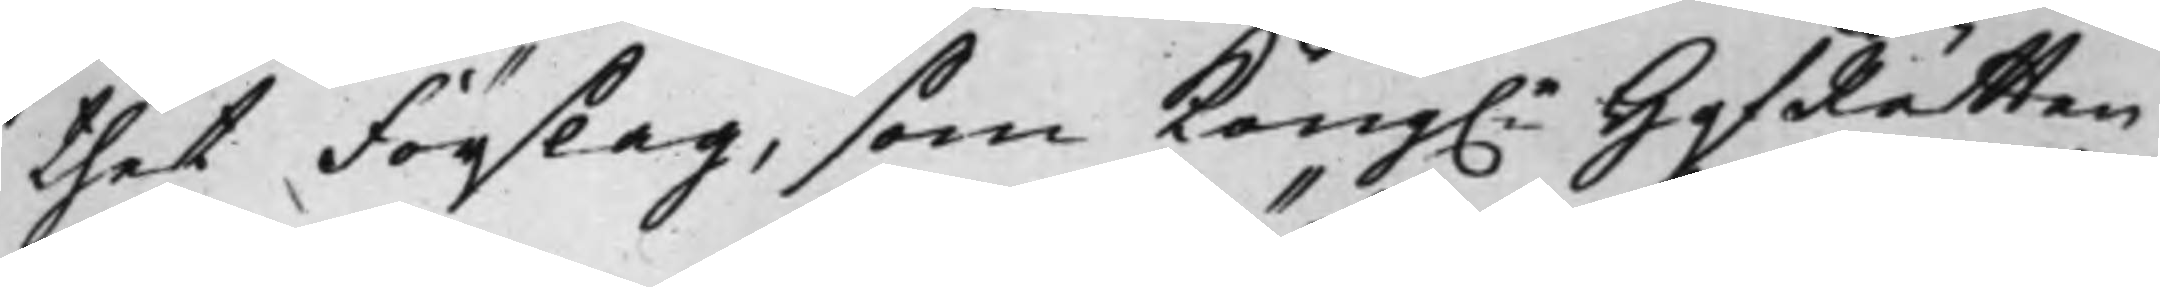thet förslag, som Kong.e HofRätten
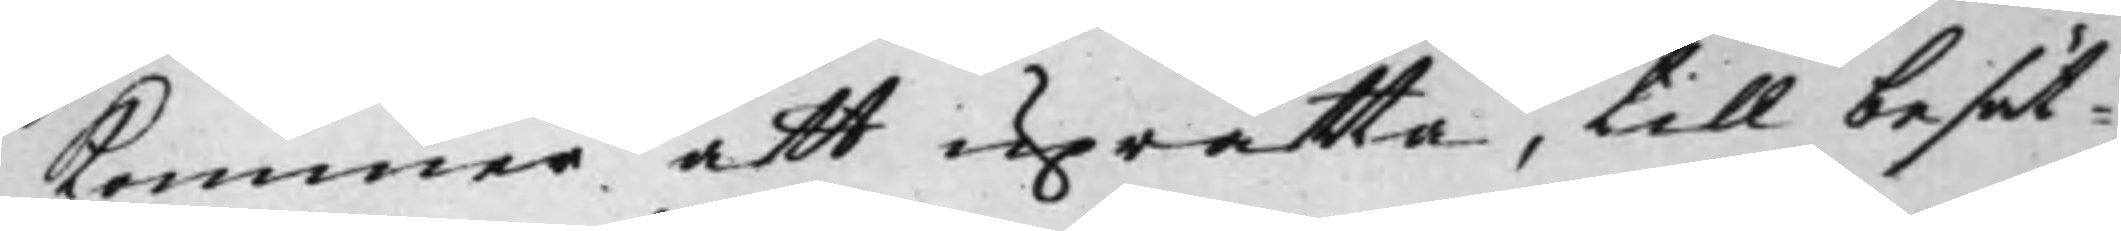kommer att uprätta, till besät¬
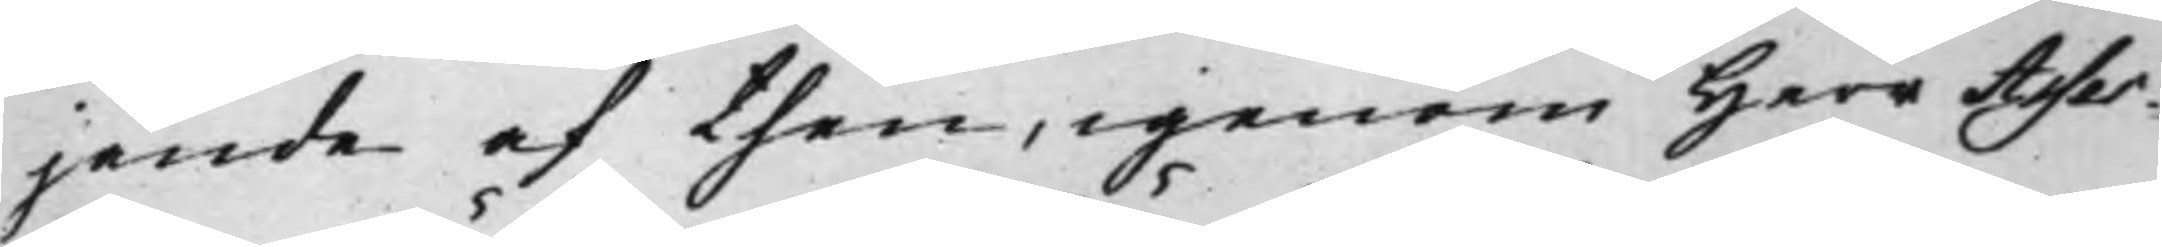jande af then, igenom Herr Asses¬
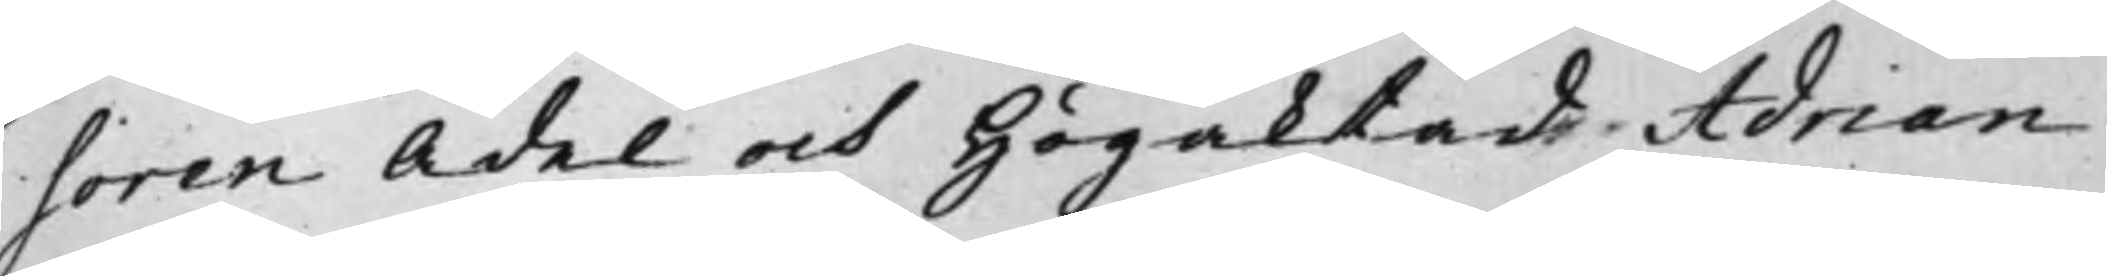soren Ädel och Högaktad Adrian
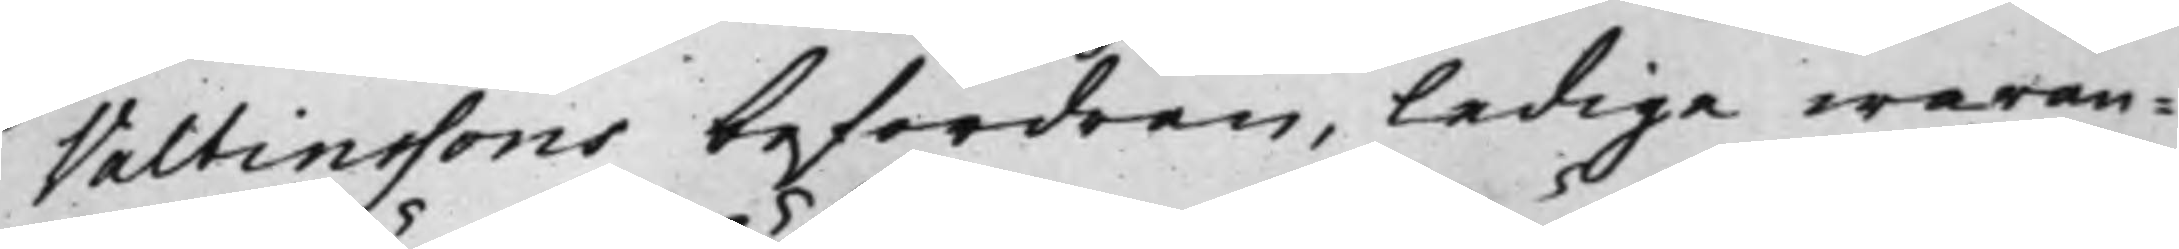Valtinssons befordran, ledige waran¬
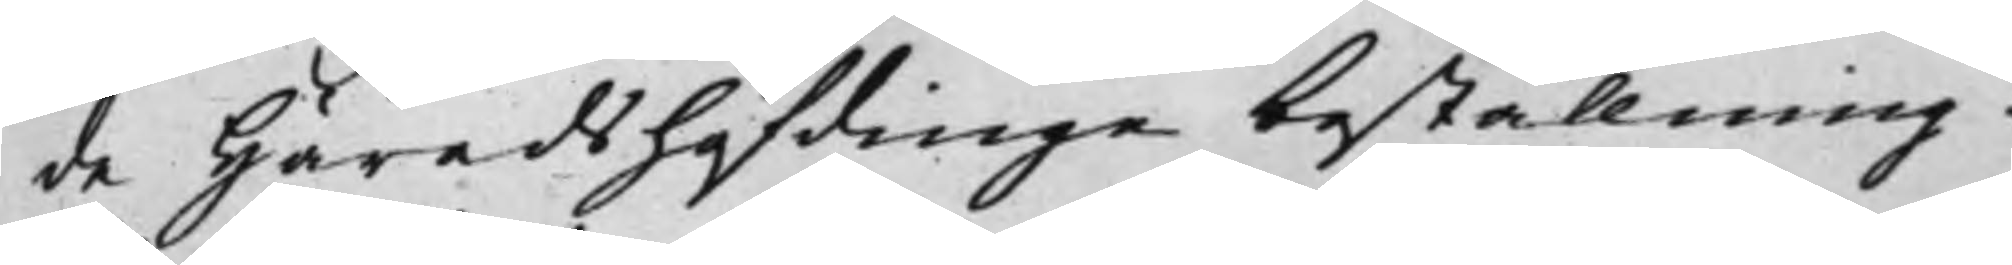de Häradshöfdinge beställning.
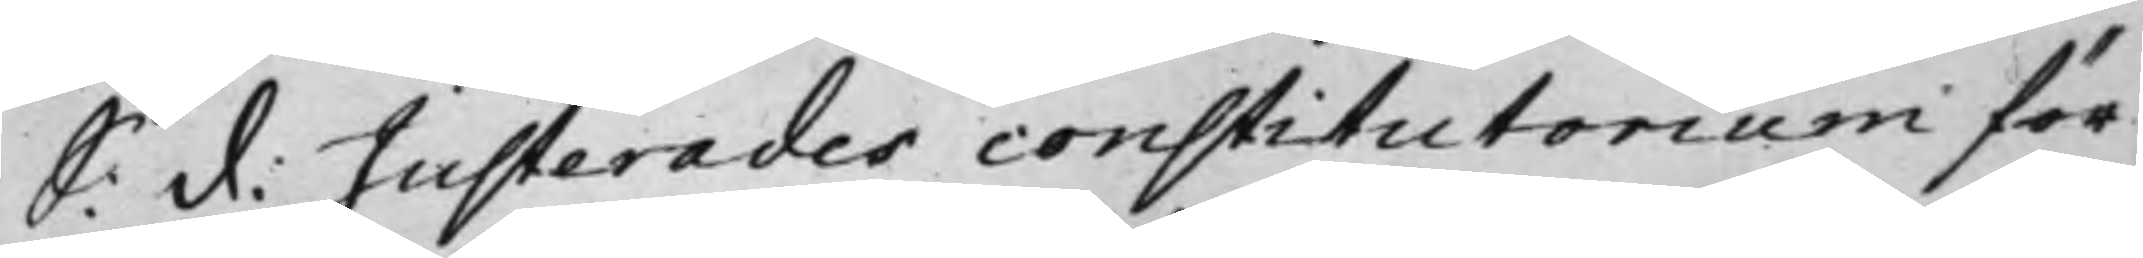S: d: Justerades constitutorium för
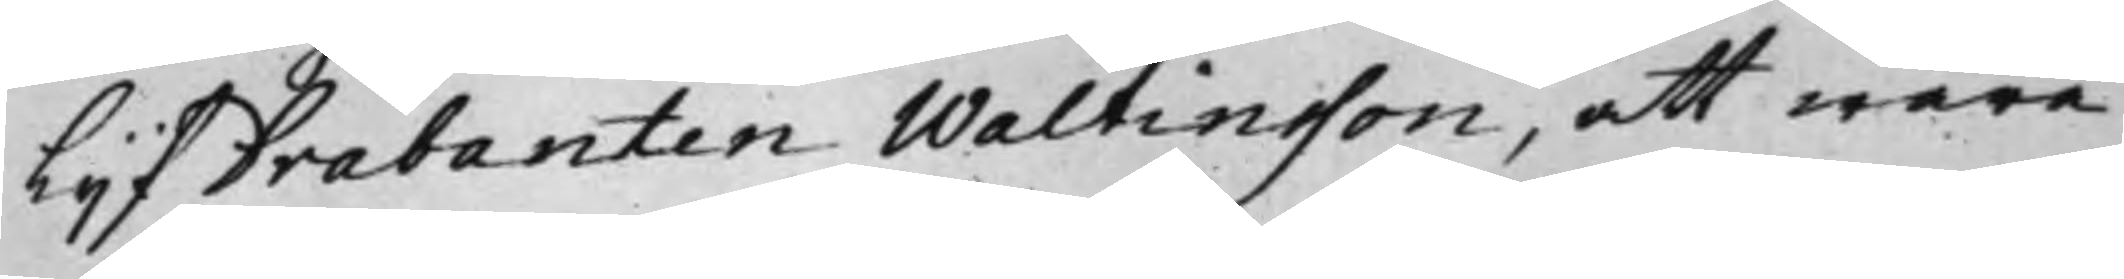LijfDrabanten Waltinsson, att wara
